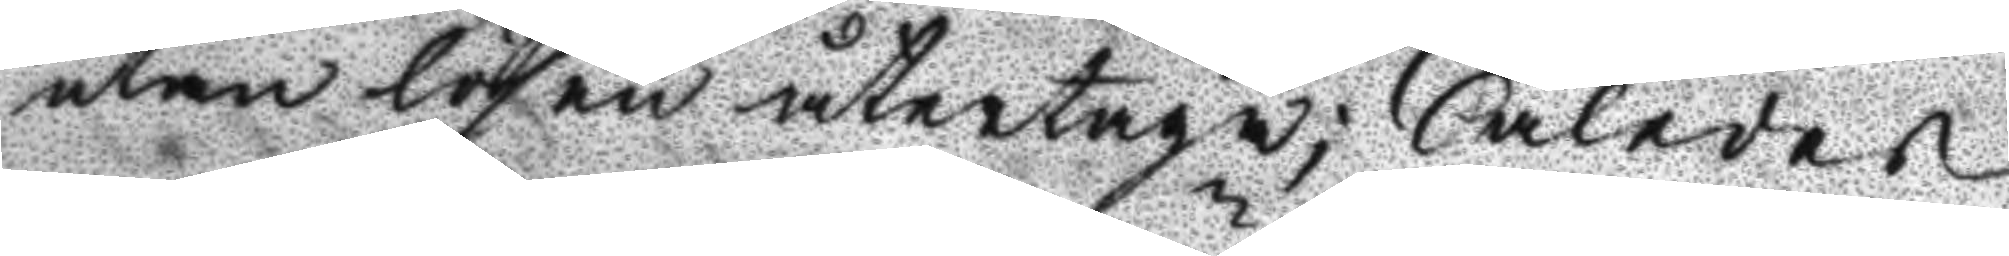utan lösen återtaga; Således
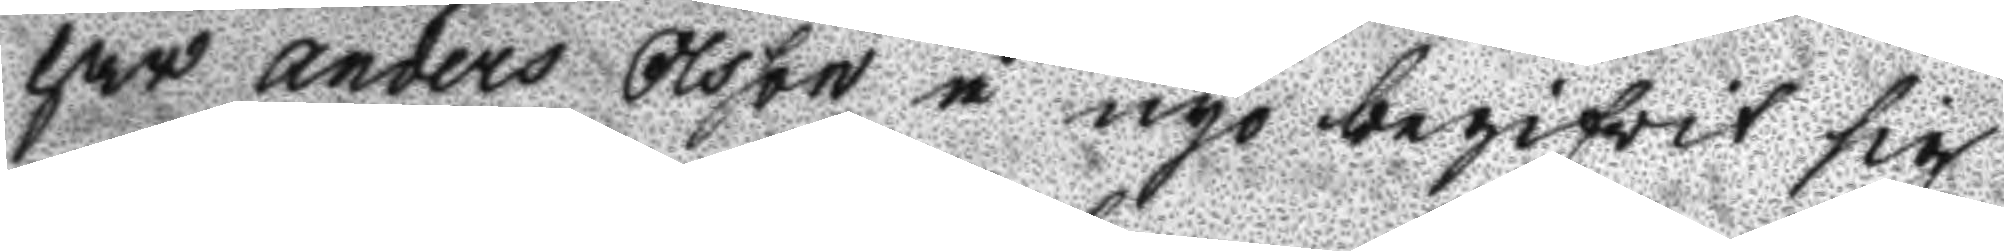har anders Olsson å nyo begifwit sig
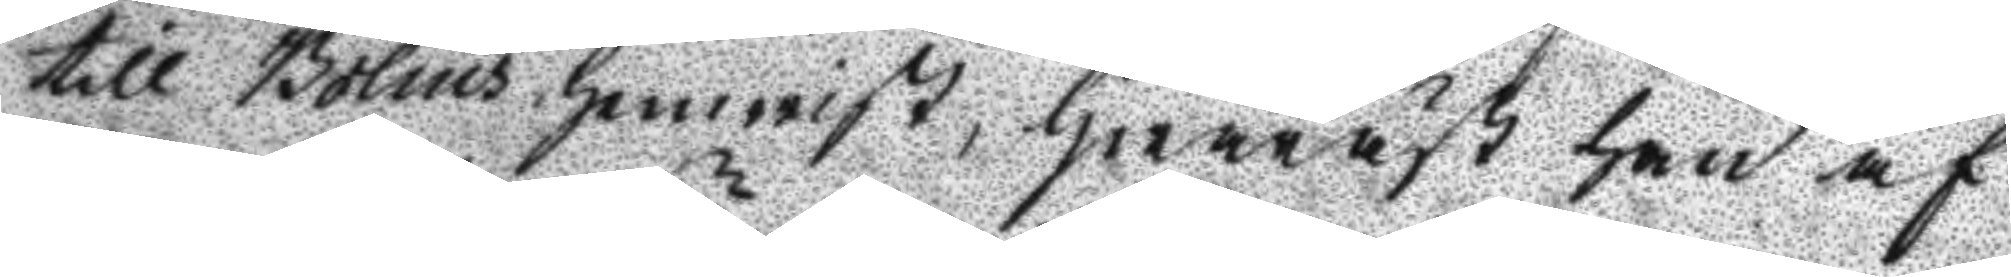till Bolins hemwist, hwaräst han af
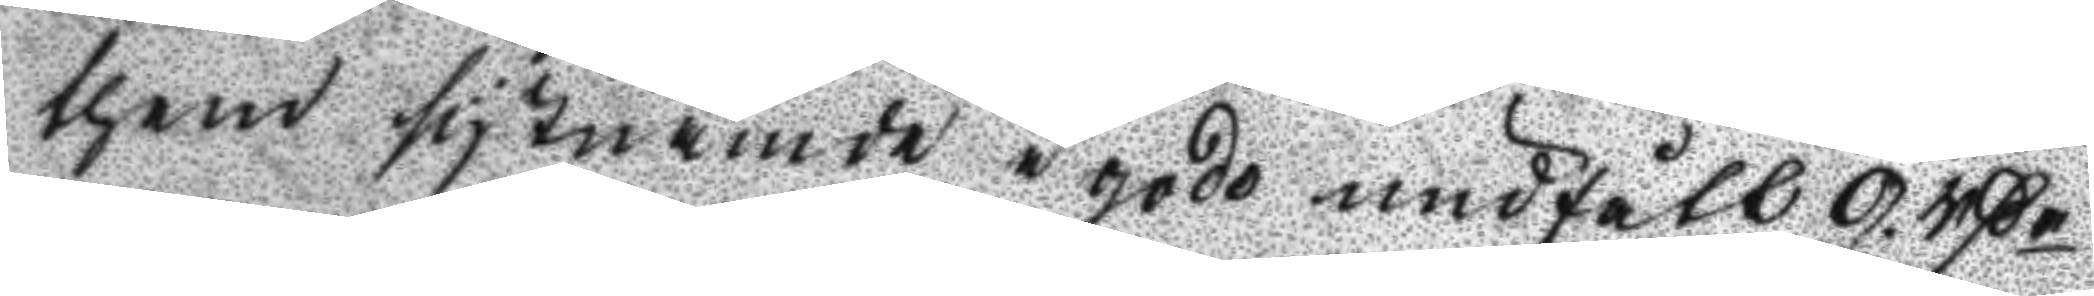them sistnämde i godo undfått 9 rßr
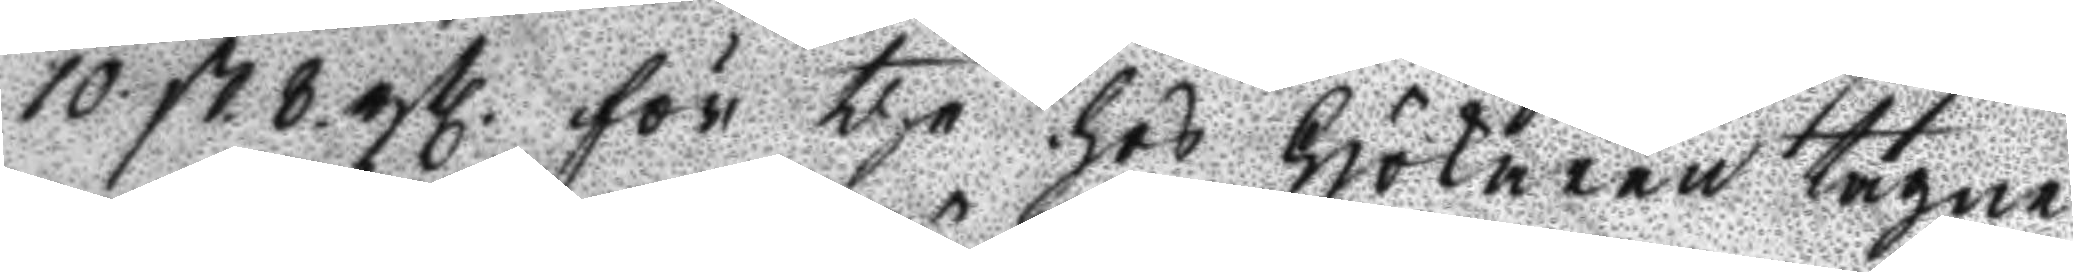10 st 8. rsl. för the hos Hökaren tagne
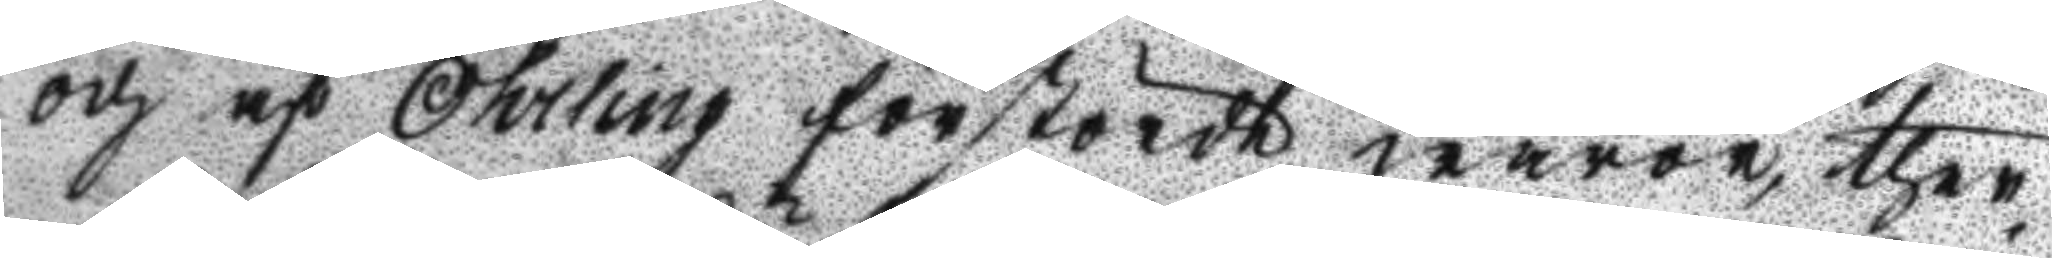och af Öhrling förstörde waror, ther
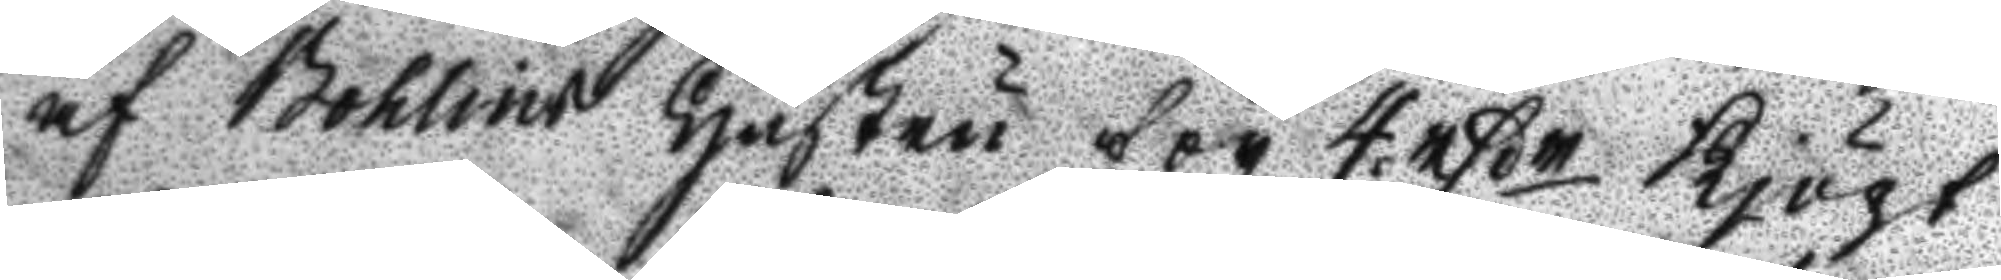af Bohlins Hustru för 4 rßr Kjöpt
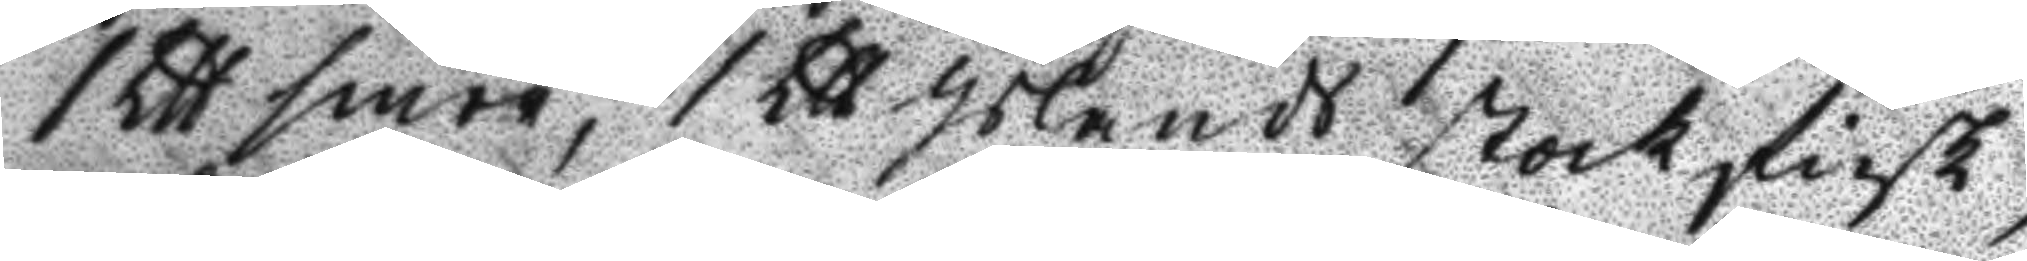1 Ltt smör, 1 Ltt Islands stockfisk,
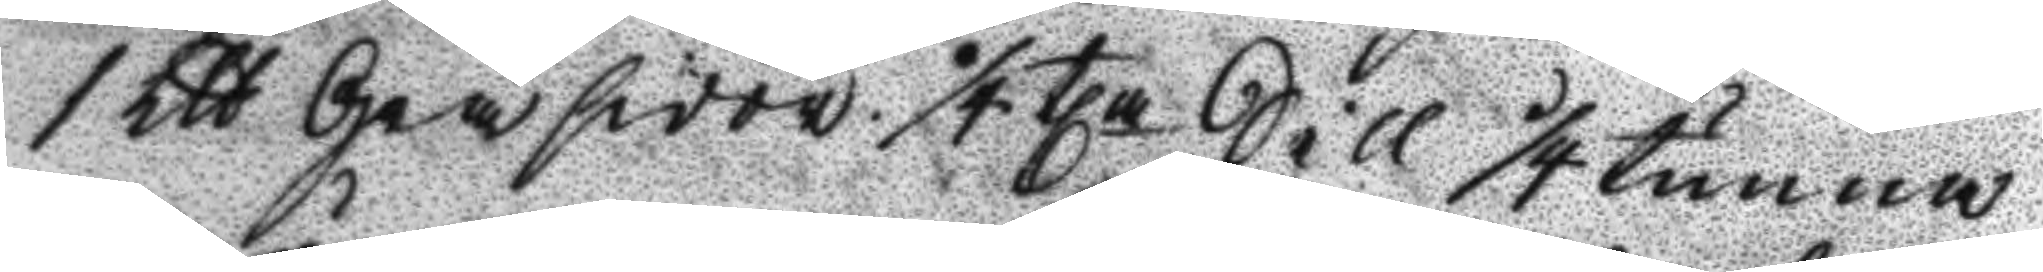1 Ltt Gråsidor, 1/4 tla Sill 1/4 tunna
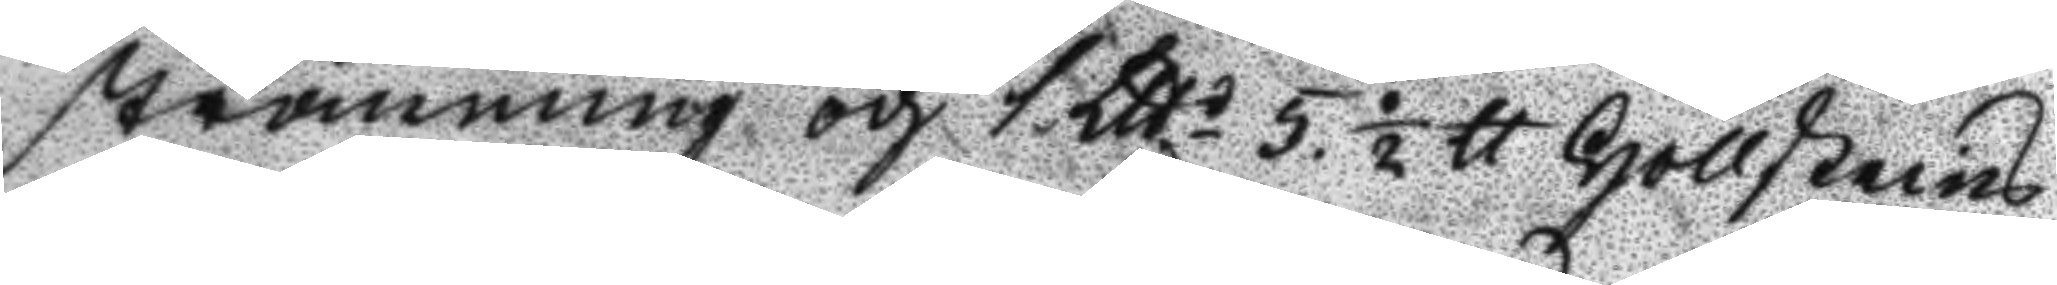strömming och 1 Ltts 5. ½ tt Hollskeins
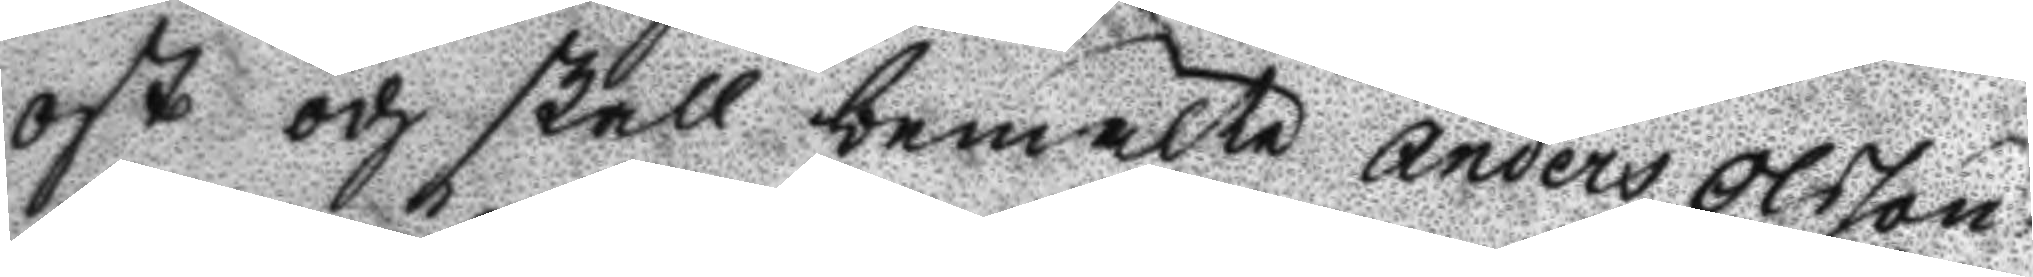ost och skall bemälte Anders Olsson
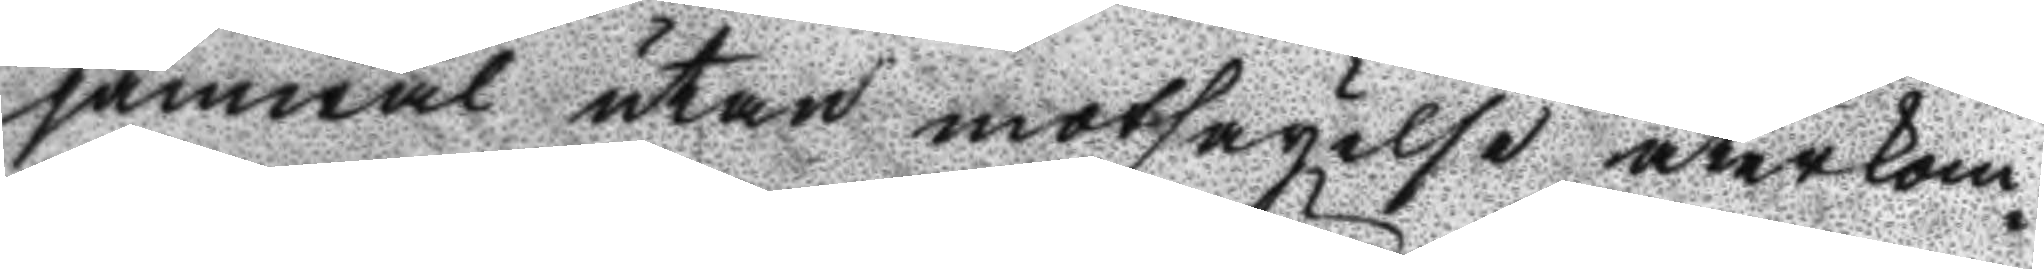jämwäl utan motsägelse återkom¬
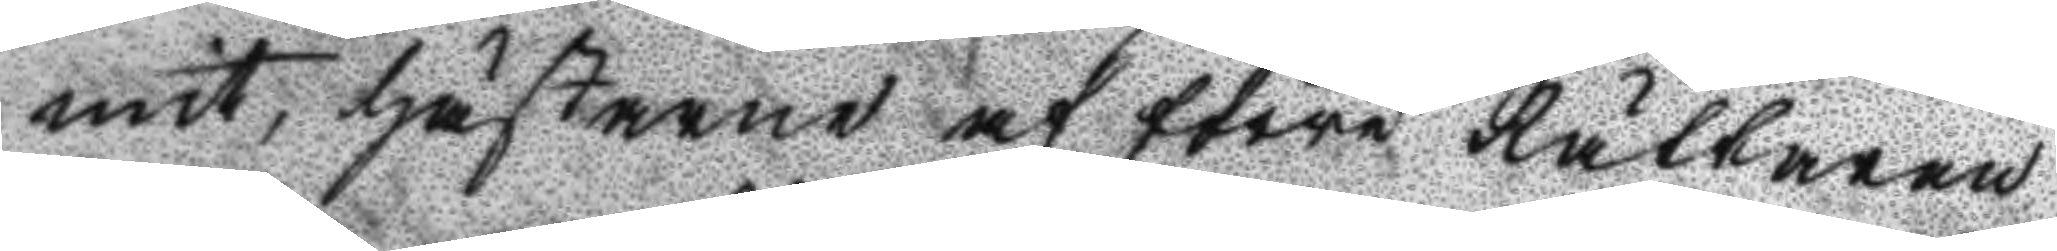mit, Hästarne af förre Rattaren
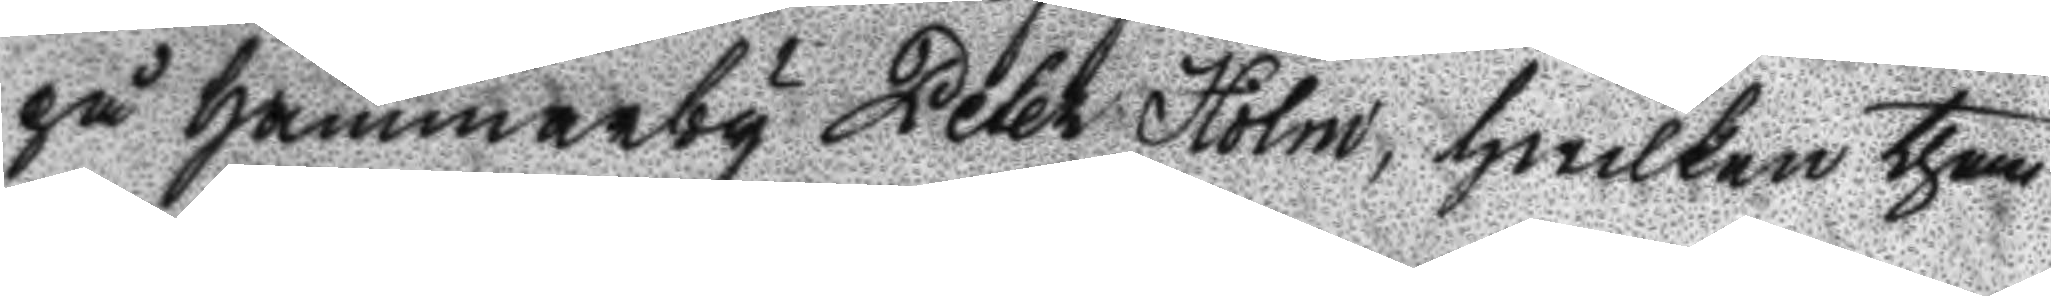på Hammarby Peter Holm, hwilken them
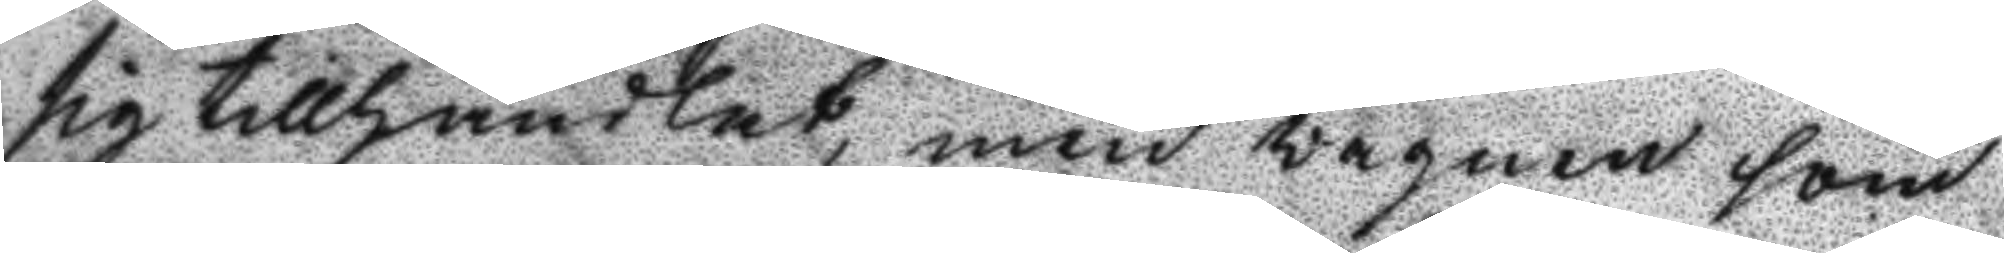sig tillhandlat, men wagnen som
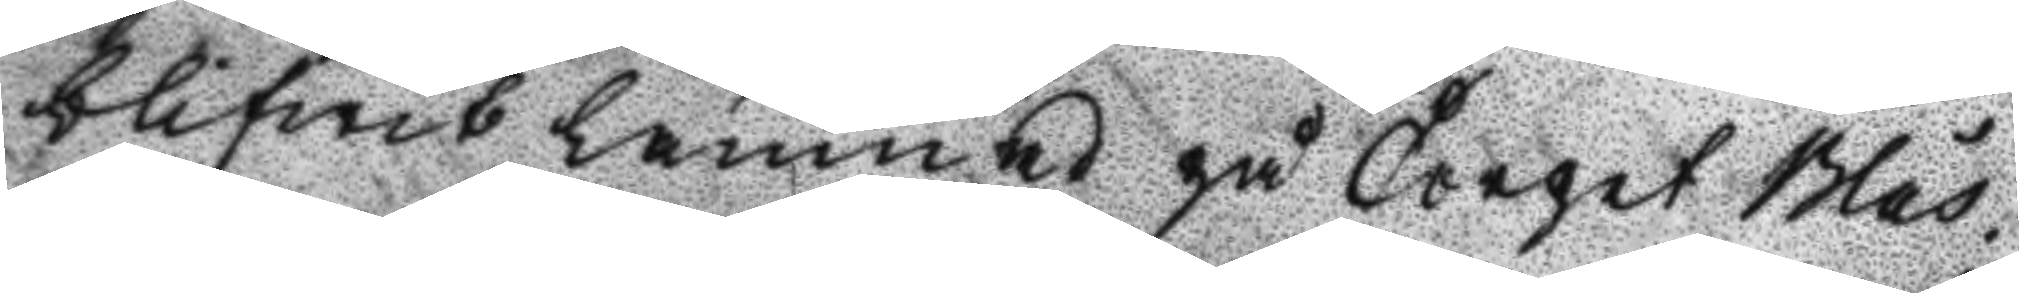blifwit lämnad på Torpet Blås¬
